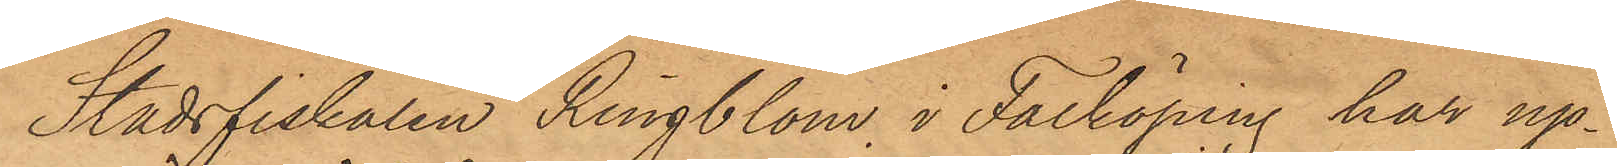Stadsfiskalen Ringblom i Falköping har up¬
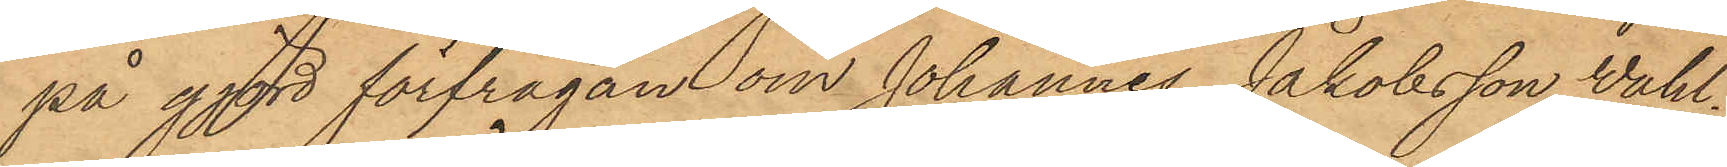på gjord förfrågan om Johannes Jakobsson Wahl¬
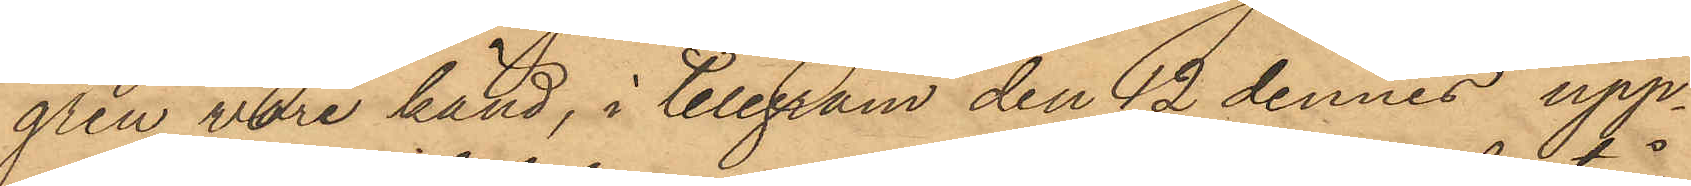gren vore känd, i telegram den 12 dennes upp¬
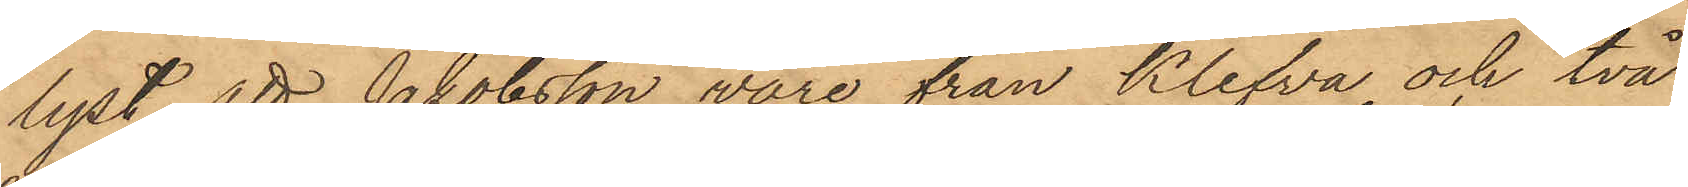lyst, att Jakobsson vore från Klefva och två
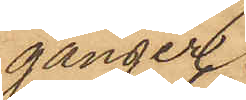gånger
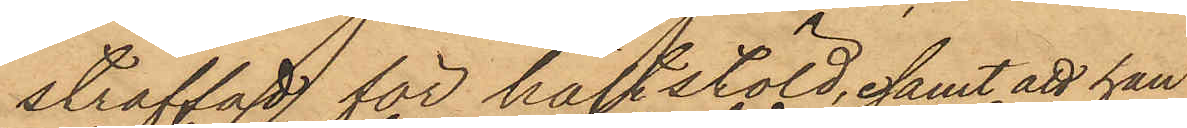straffad för häststöld, samt att han
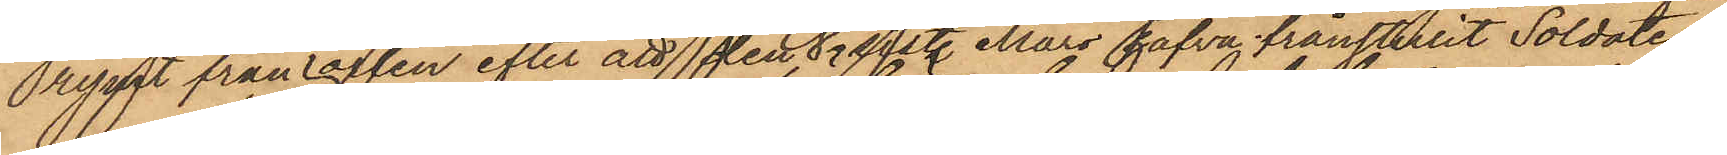rymt från orten efter att den 8 sist. Mars hafva frånstulit Soldaten
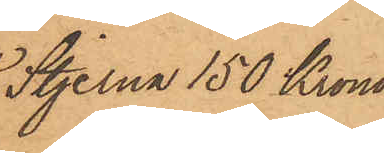Stjerna 150 Kronor.
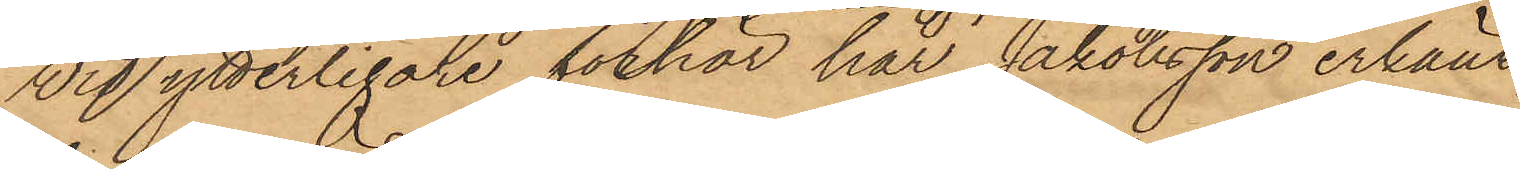Wid ytterligare förhör har Jakobsson erkänt,
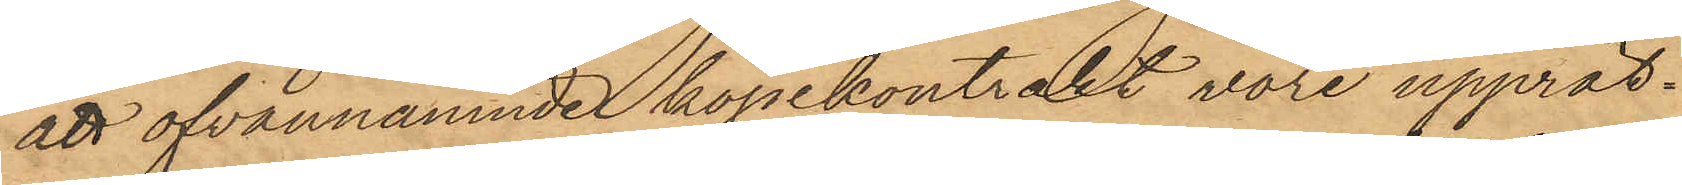att ofvannämnde köpekontrakt vore upprät¬
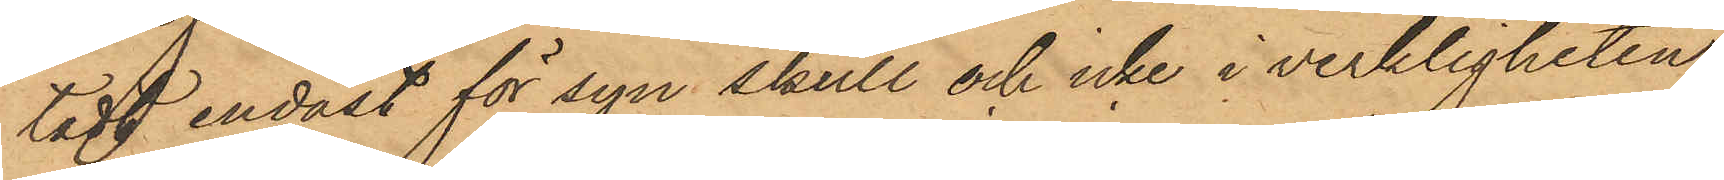tadt endast för syn skull och icke i verkligheten
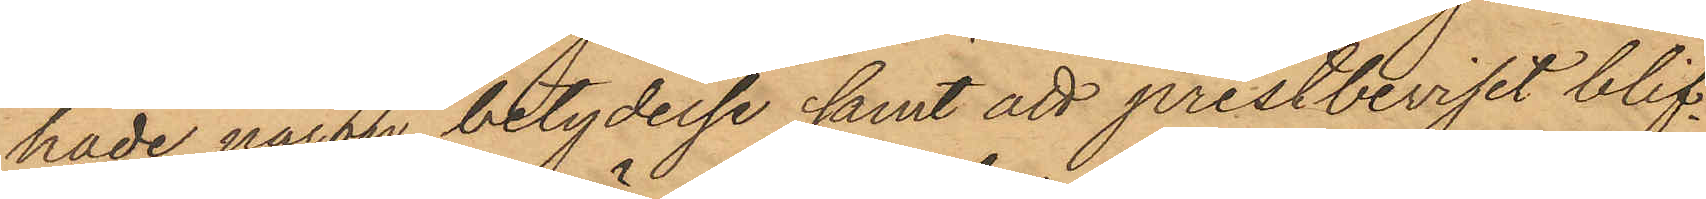hade någon betydelse samt att prestbeviset blif¬
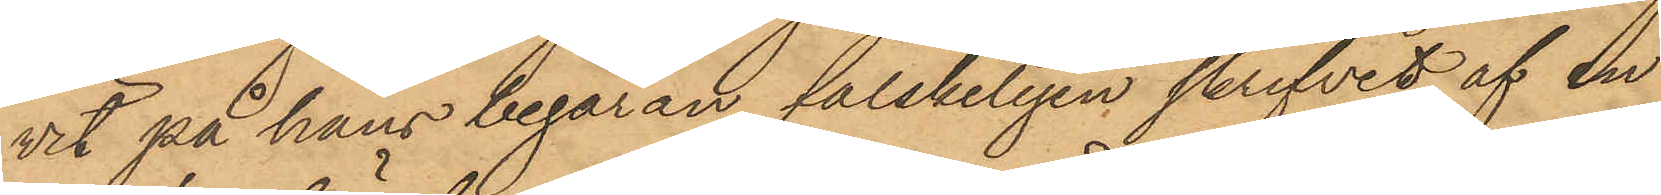vit på hans begäran falskeligen skrifvet af en
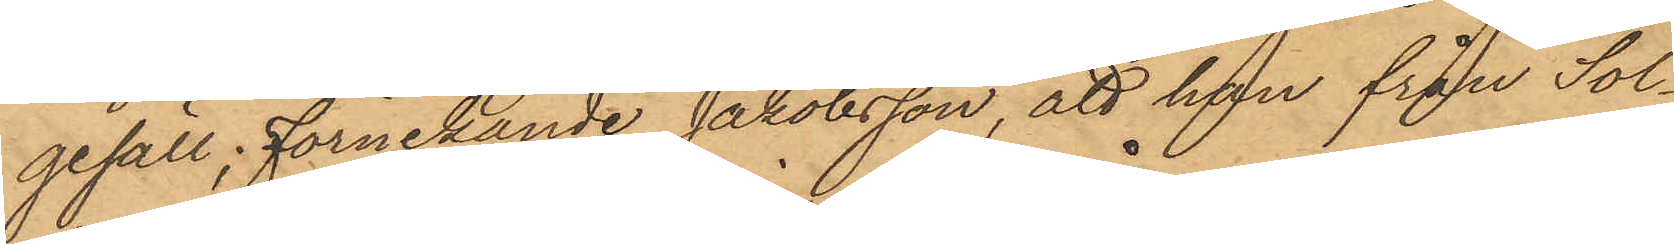gesäll, förnekande Jakobsson, att han från Sol¬
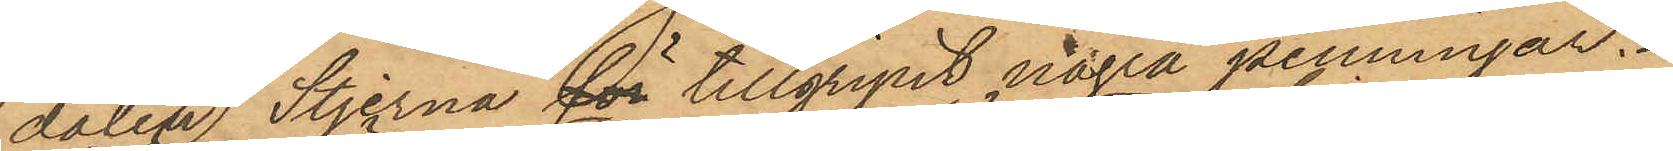daten Stjerna för tillgripit några penningar.
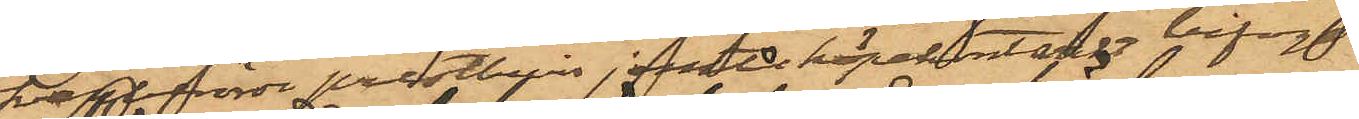Ofvanberörde prestbevis jemte köpekontraktet bifogas.
